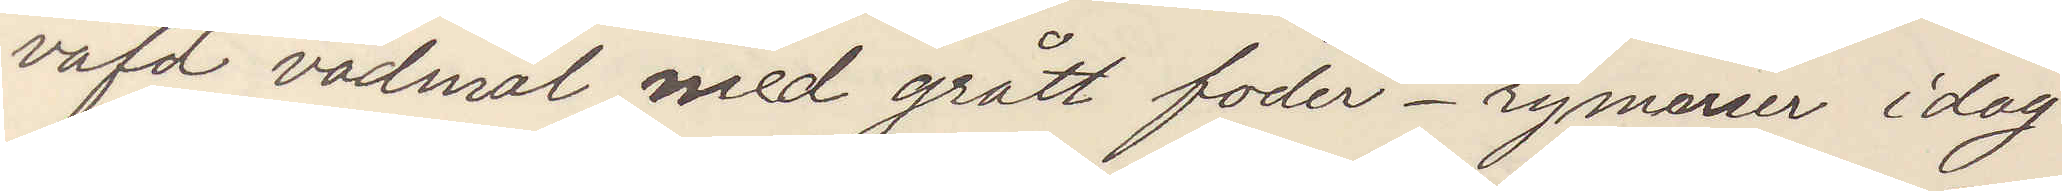väfd vadmal med grått foder. rymmer idag
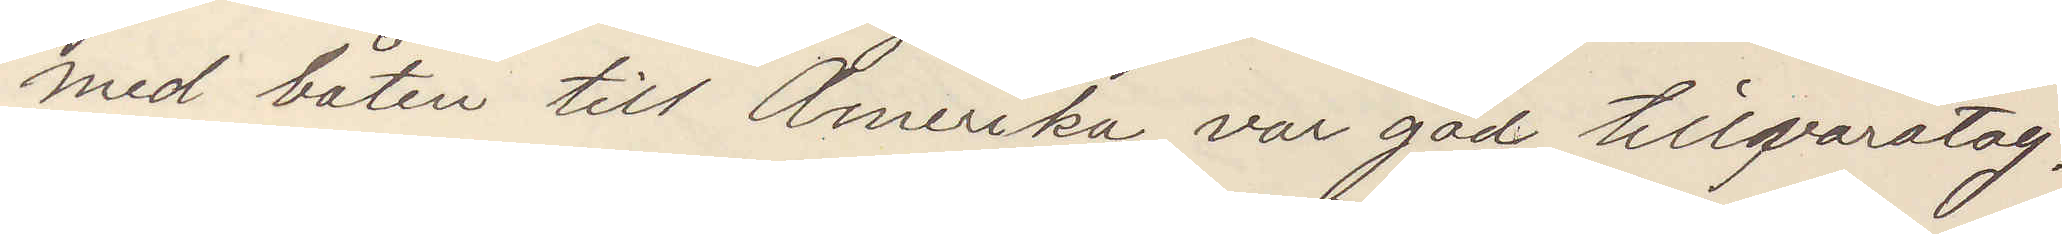med båten till Amerika, var god tillvaratag.
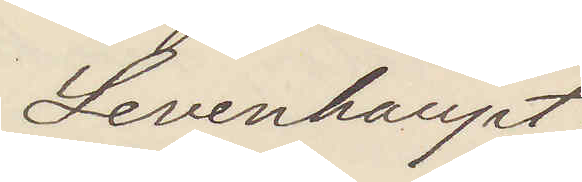Levenhaupt
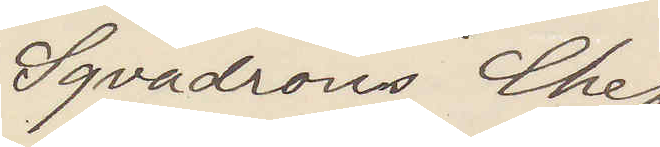Sqvadrons Chef
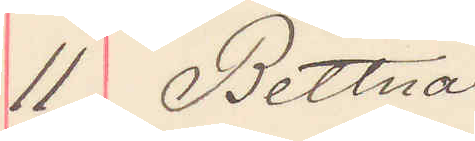11 Bettna
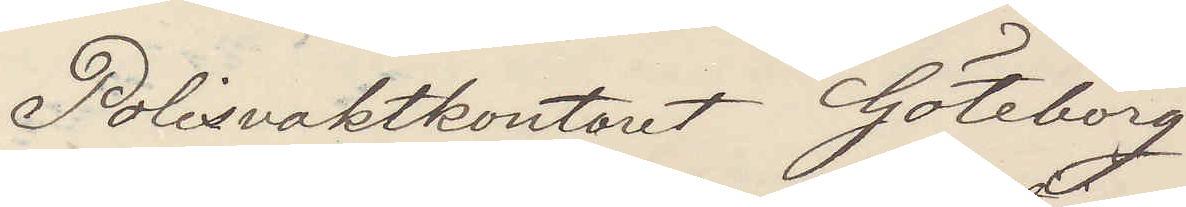Polisvaktkontoret Göteborg
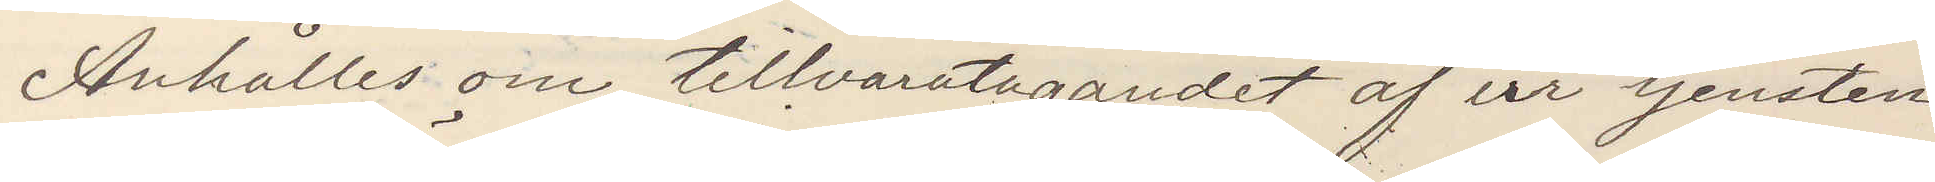Anhålles om tillvaratagandet af ur tjensten
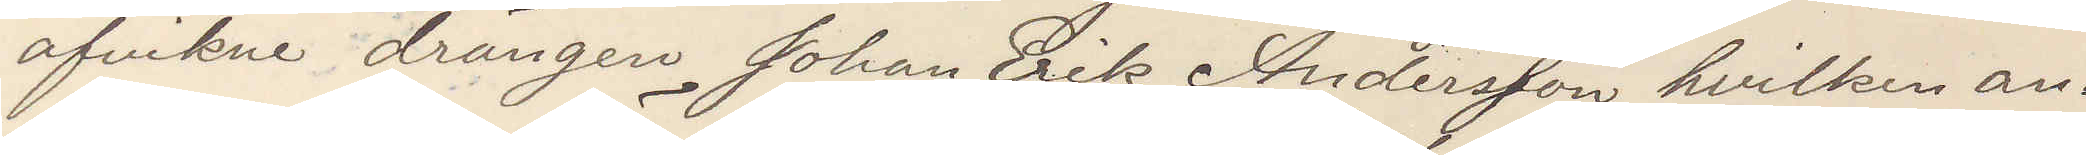afvikne drängen Johan Erik Andersson hvilken an¬
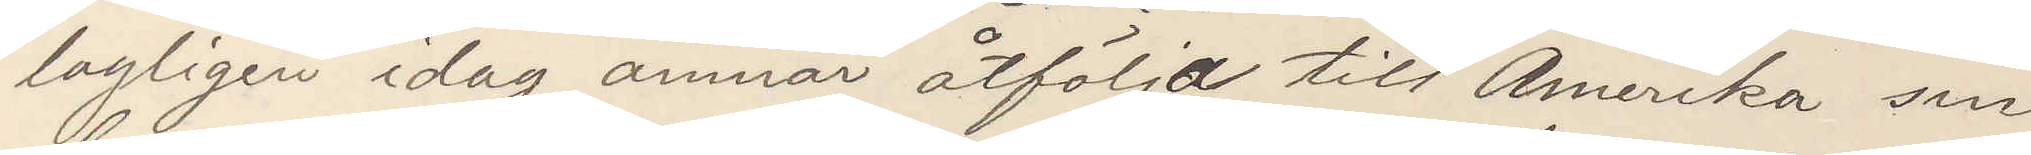tagligen idag ämnar åtfölja till Amerika sin
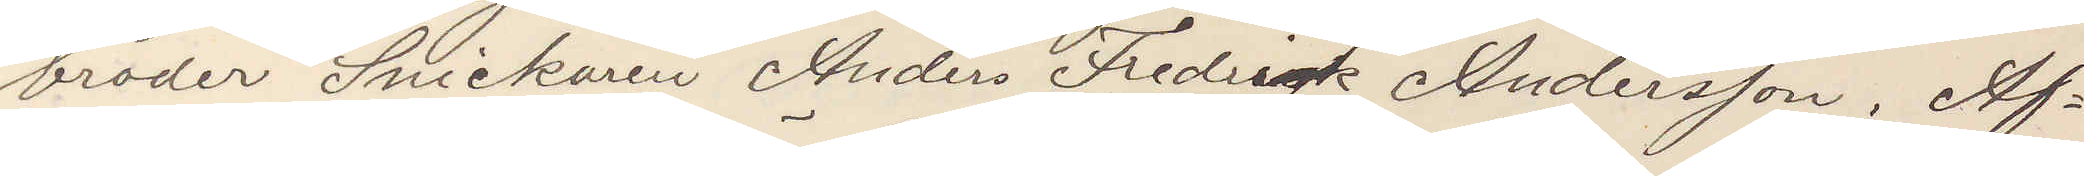broder Snickaren Anders Fredrik Andersson. Af¬
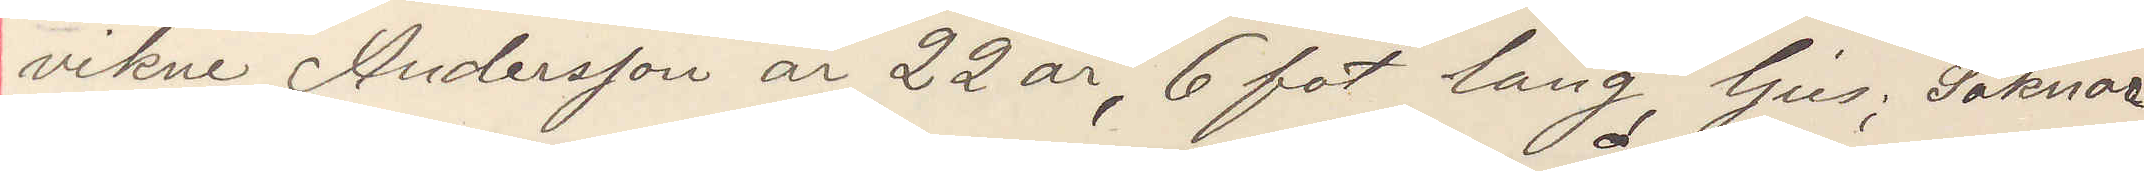vikne Andersson är 22 år, 6 fot lång, ljus: Saknar
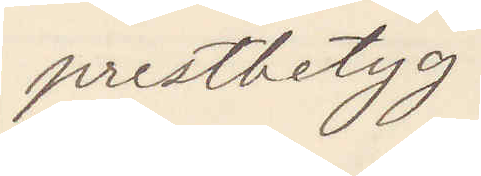prestbetyg.
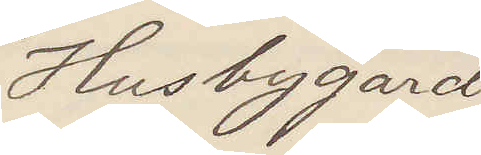Husbygård
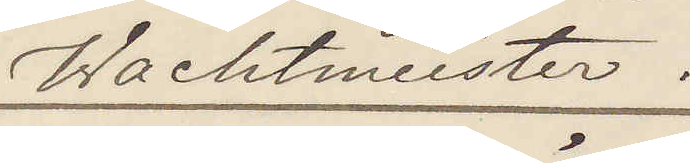Wachtmeister.
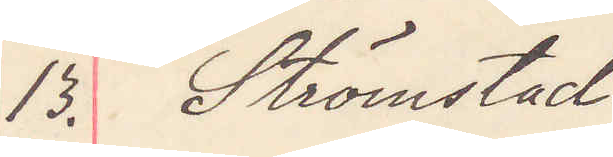13. Strömstad
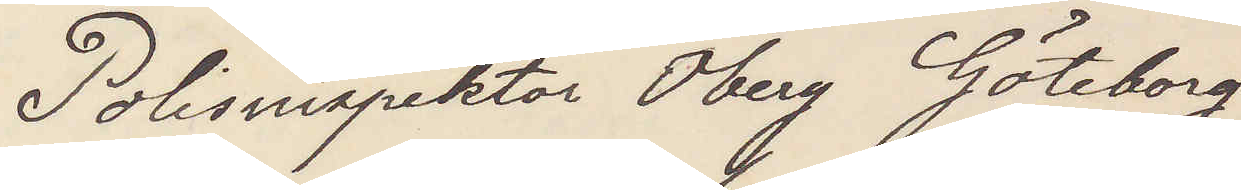Polisinspektor Öberg Göteborg
